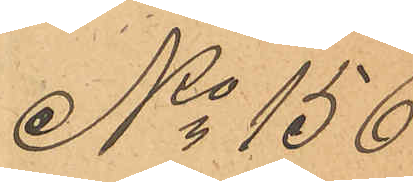No 156
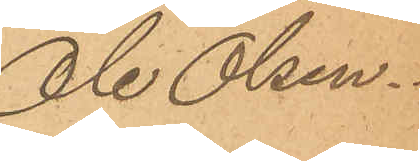Ole Olsen.
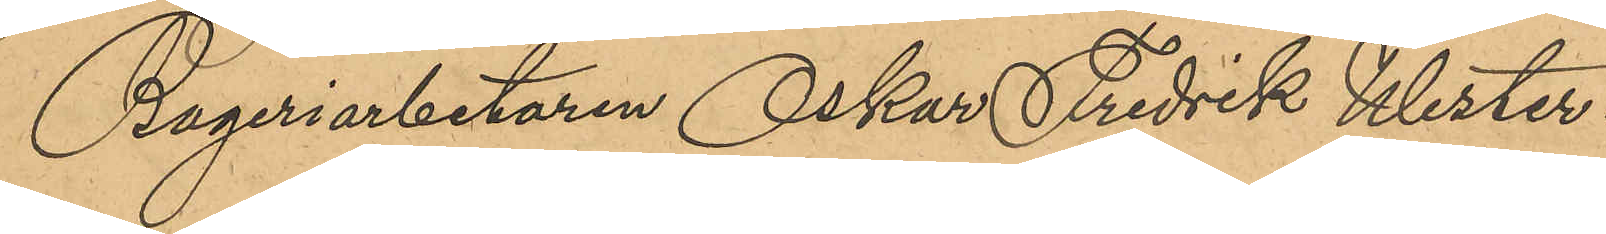Bageriarbetaren Oskar Fredrik Wester¬
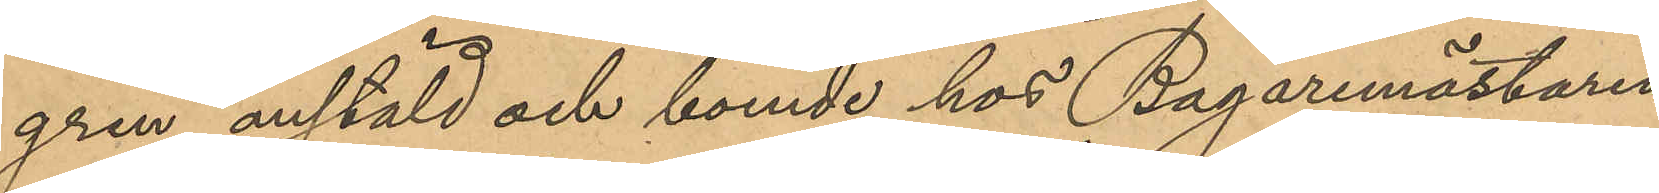gren, anstäld och boende hos Bagaremästaren
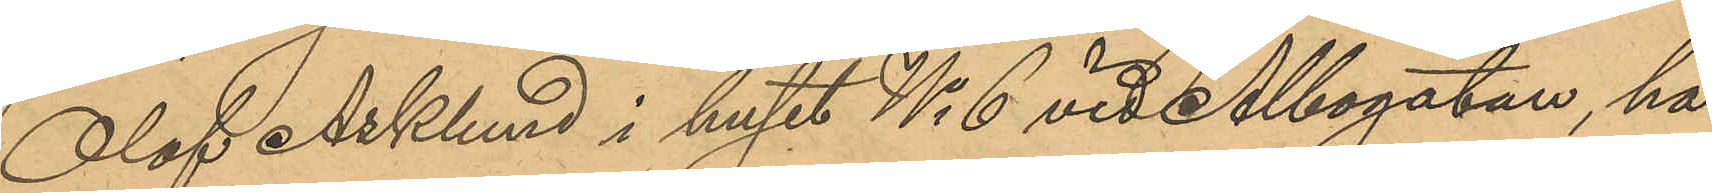Olof Asklund i huset No 6 vid Albogatan, har
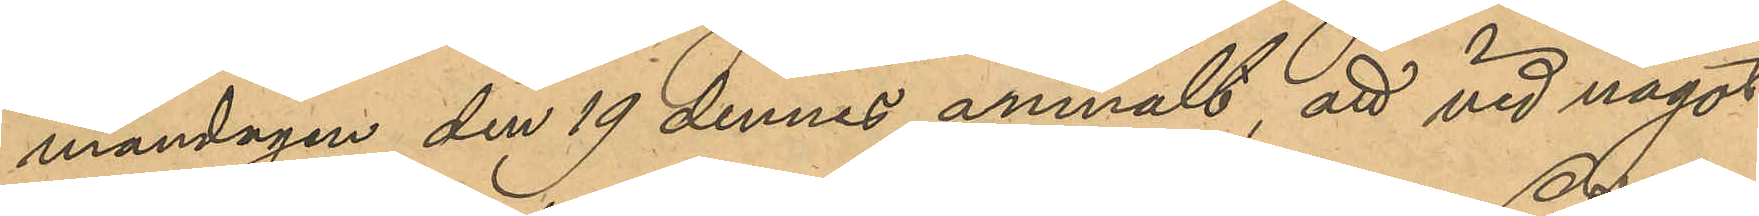måndagen den 19 dennes anmält, att vid något
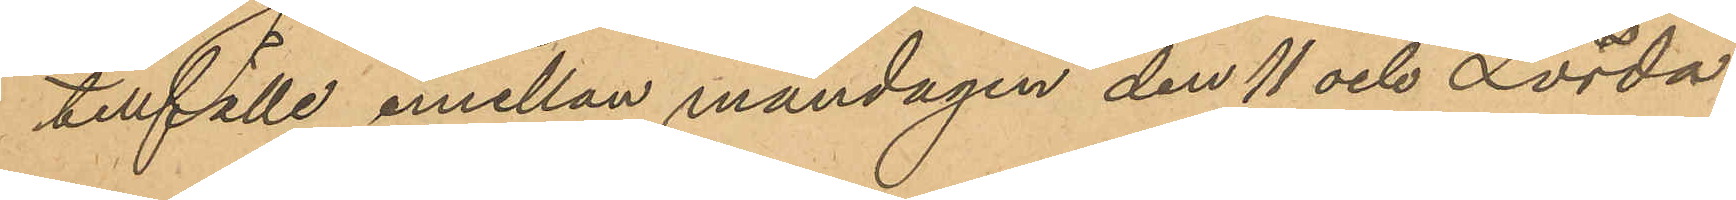tillfälle emellan måndagen den 11 och Lörda¬
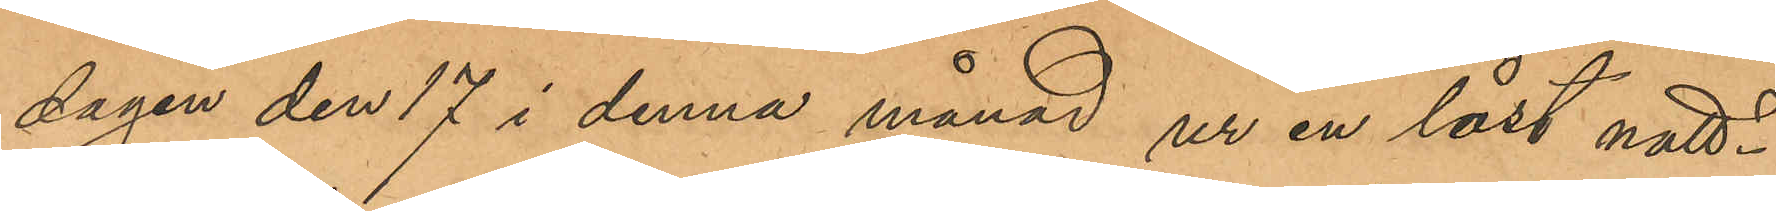dagen den 17 i denna månad ur en låst natt¬
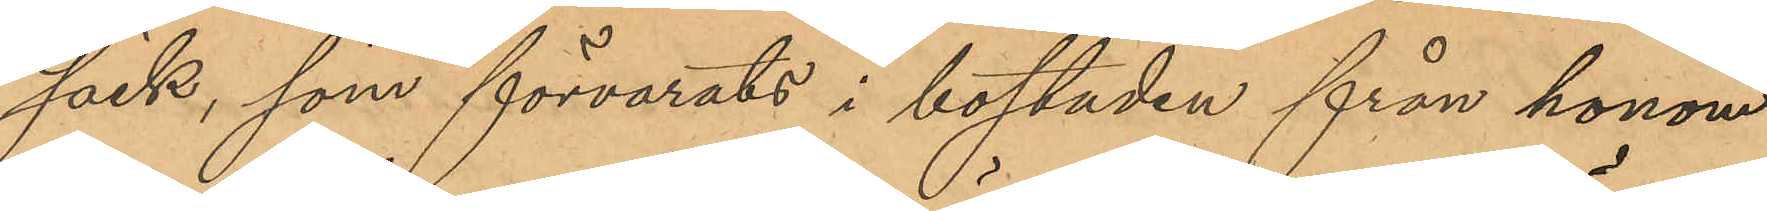säck, som förvarats i bostaden från honom
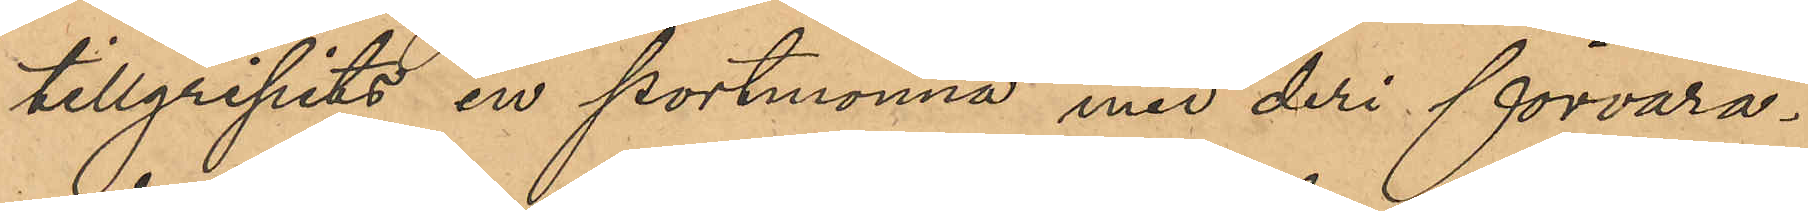tillgripits en portmonnä med deri förvara¬
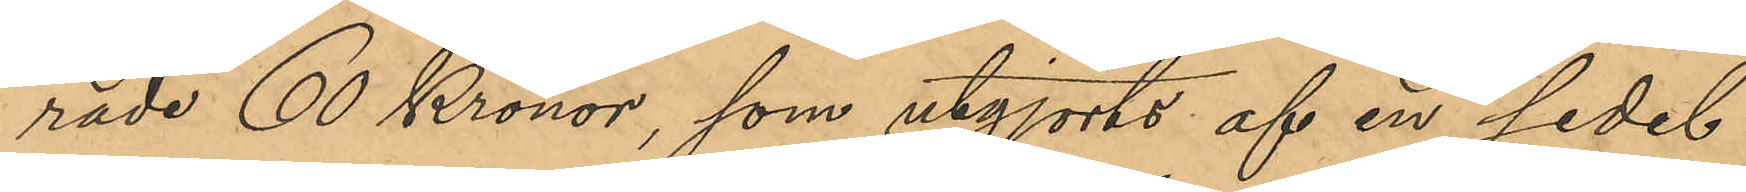rade 60 Kronor, som utgjorts af en sedel
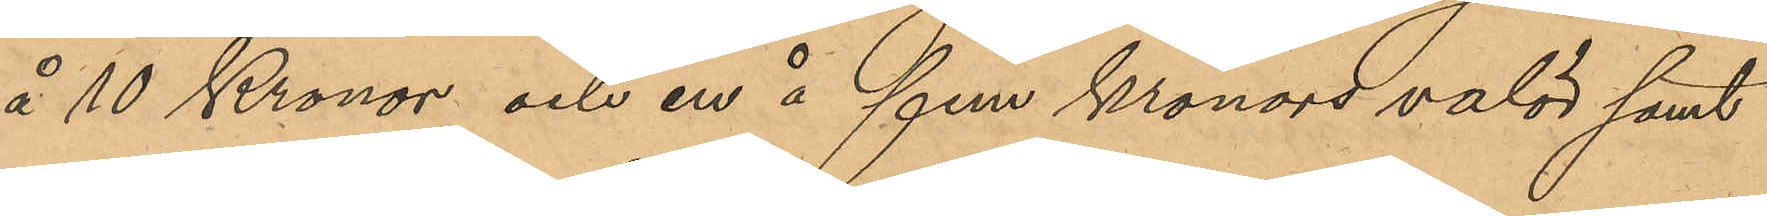å 10 Kronor och en å fem Kronors valör samt
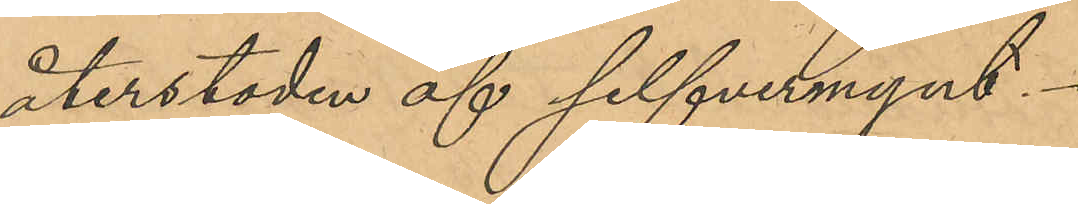återstoden af silfvermynt.
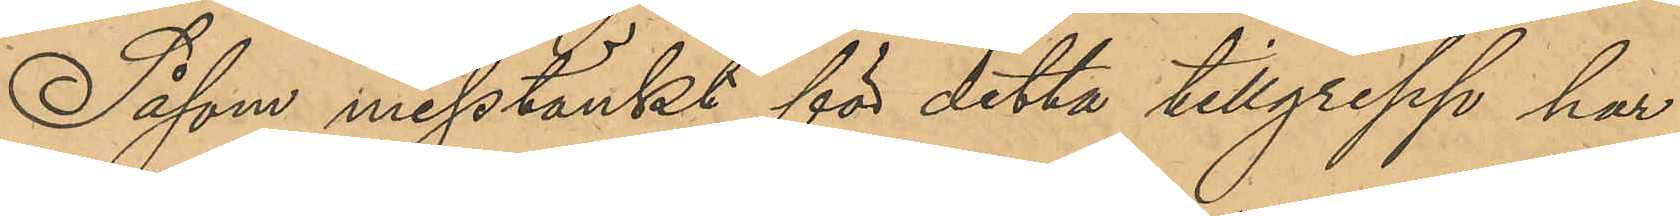Såsom misstänkt för detta tillgrepp har
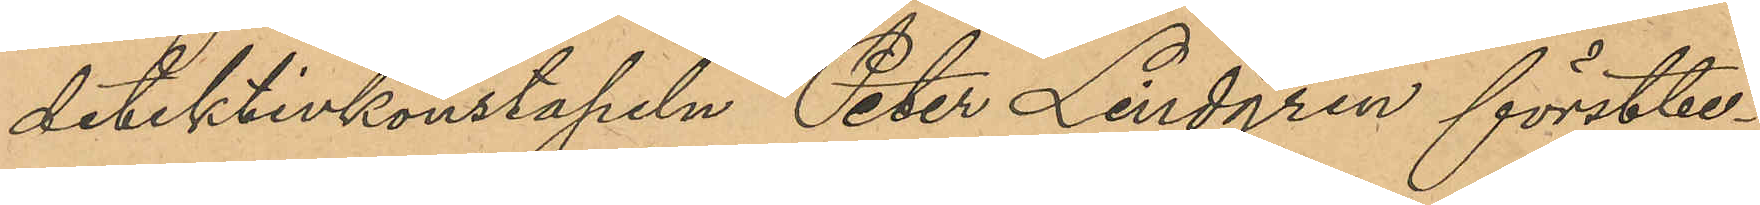detektivkonstapeln Peter Lindgren förstbe¬
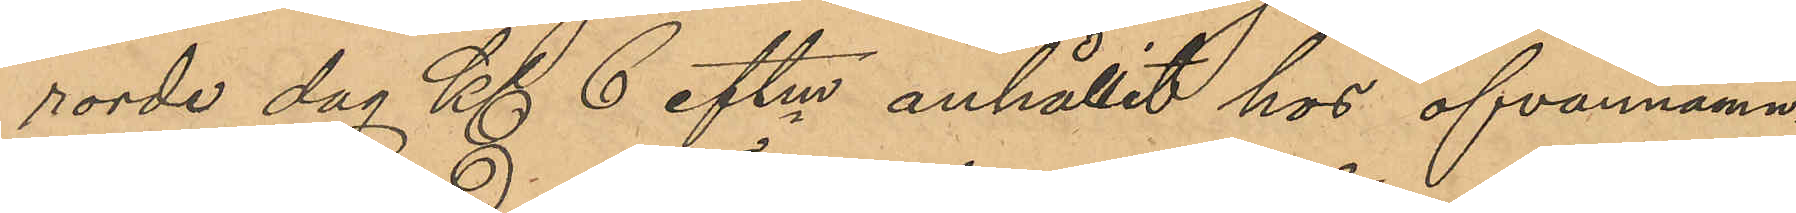rorde dag Kl 6 eftm anhållit hos ofvannäm¬
